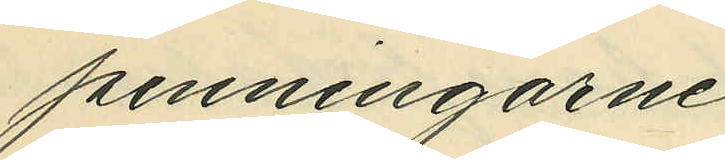penningarne.
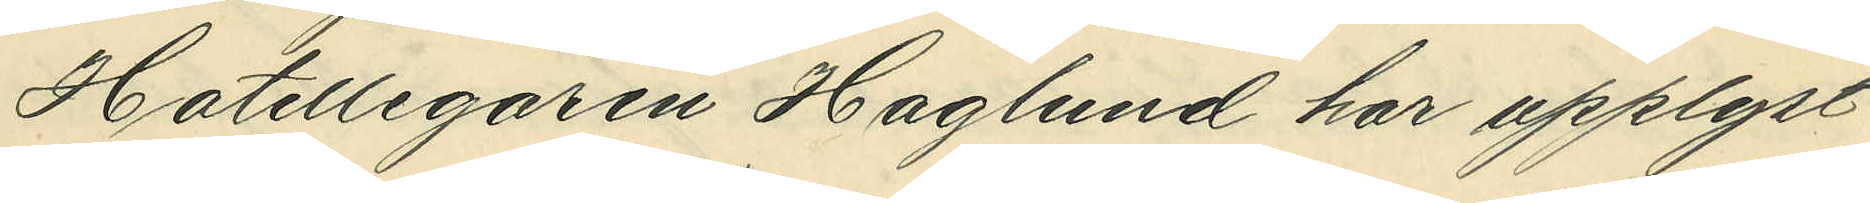Hotellegaren Haglund har upplyst
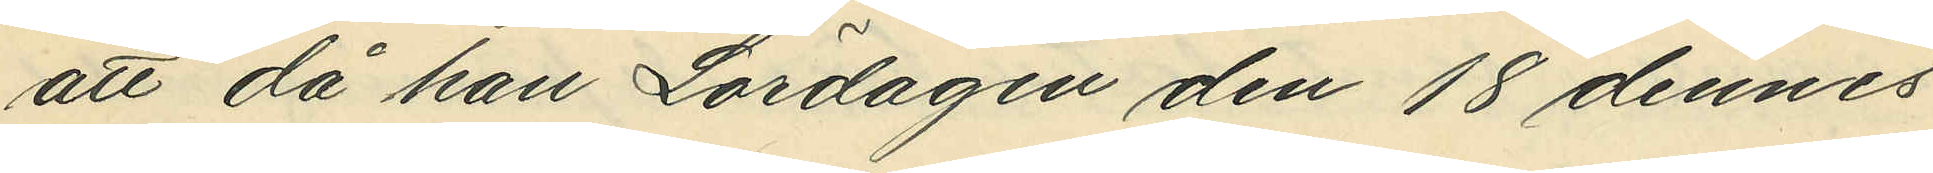att då han Lördagen den 18 dennes
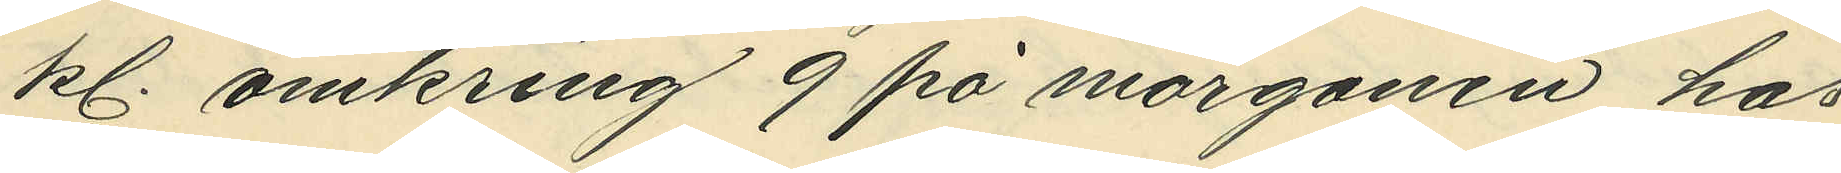kl. omkring 9 på morgonen hos
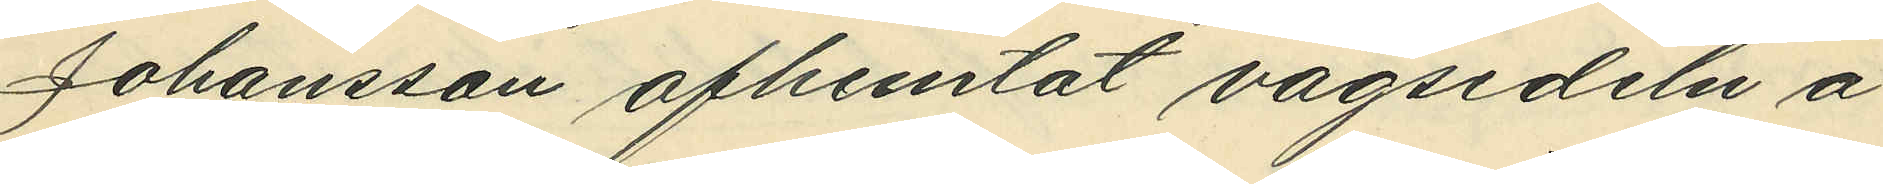Johansson afhemtat vågsedeln å
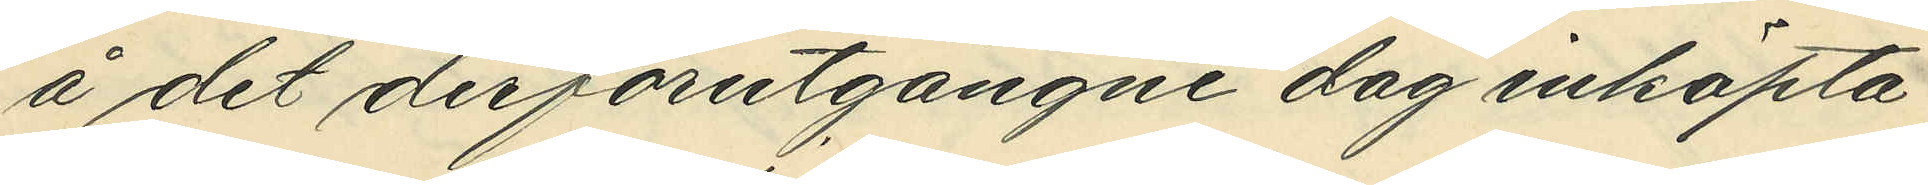å det den förutgångne dag inköpta
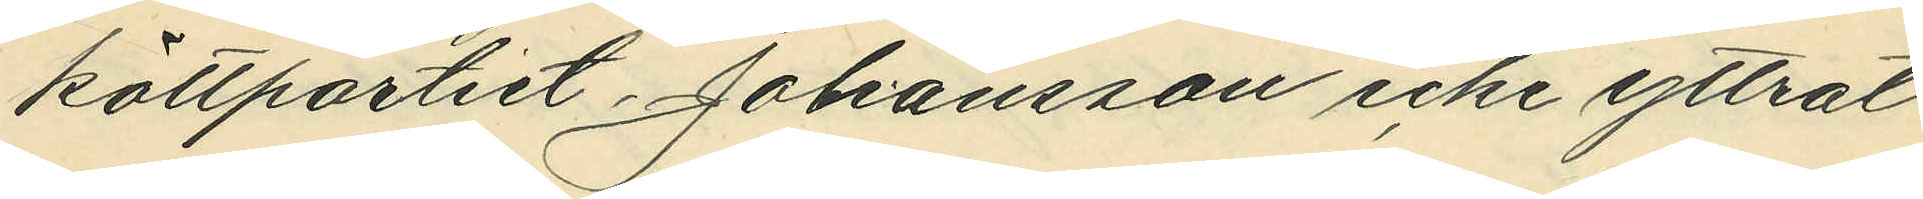köttpartiet Johansson icke yttrat
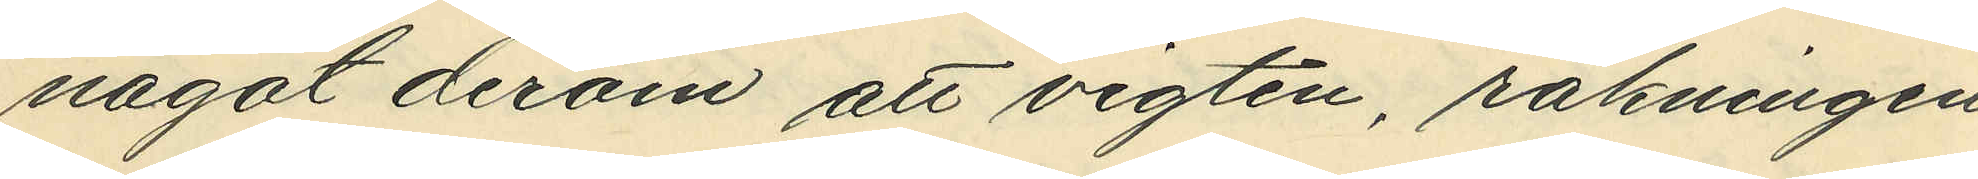något derom att vigten räkningen
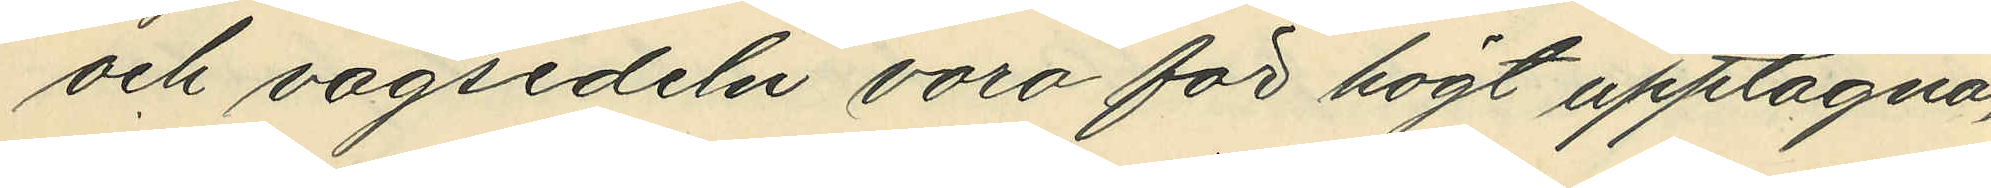och vågsedeln voro för högt upptagna,
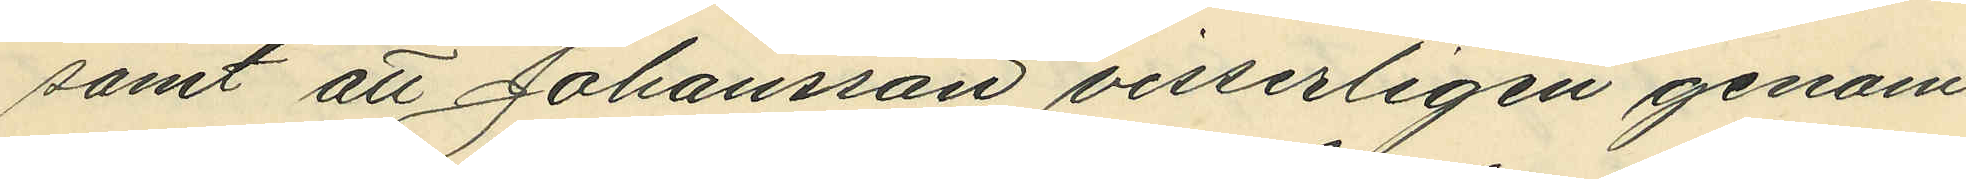samt att Johansson visserligen genom
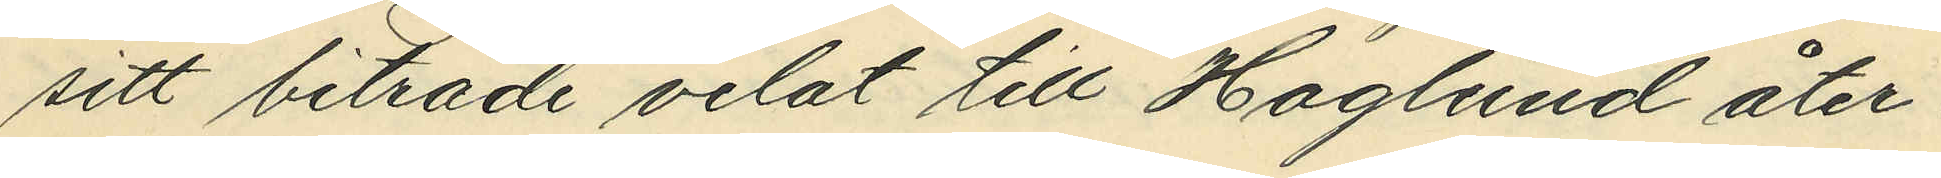sitt biträde velat till Haglund åter¬
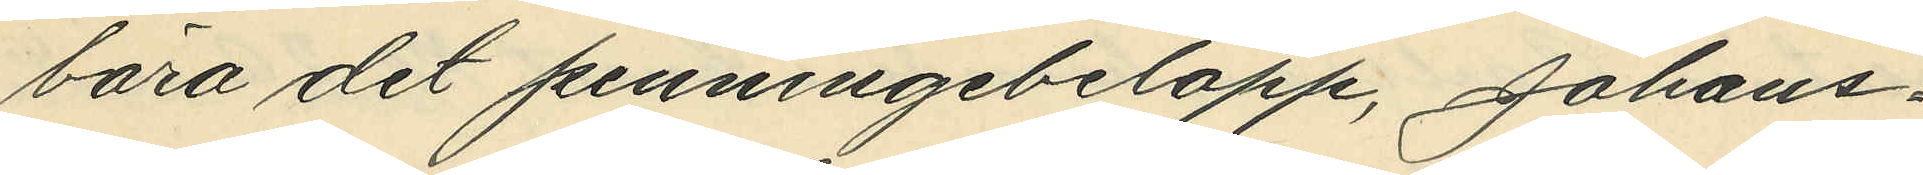bära det penningbelopp Johans¬
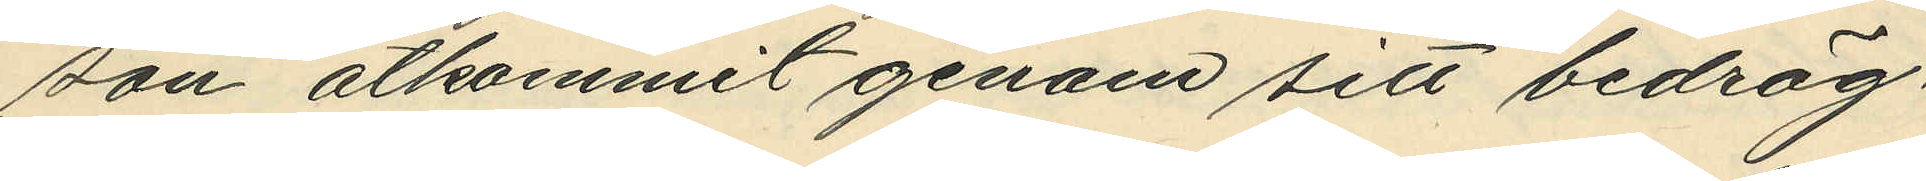son åtkommit genom sitt bedräg¬
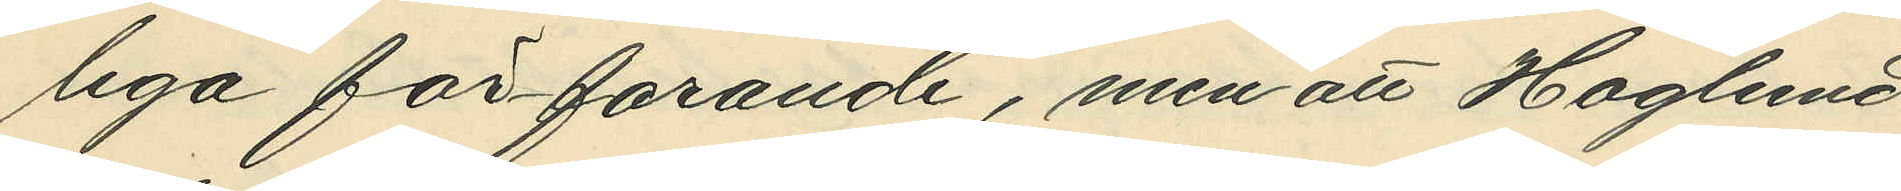liga förfarande, men att Haglund
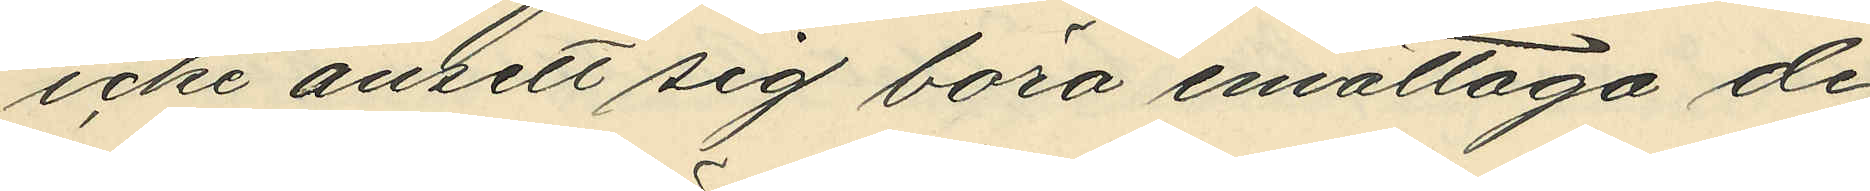icke ansett sig böra emottaga de¬
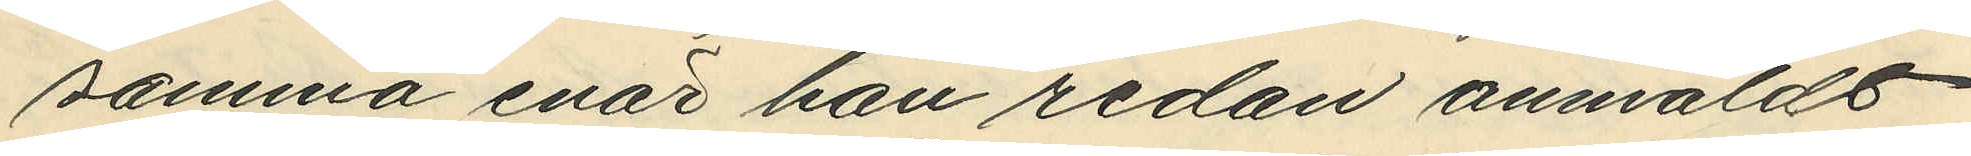samma enär han redan anmäldt
